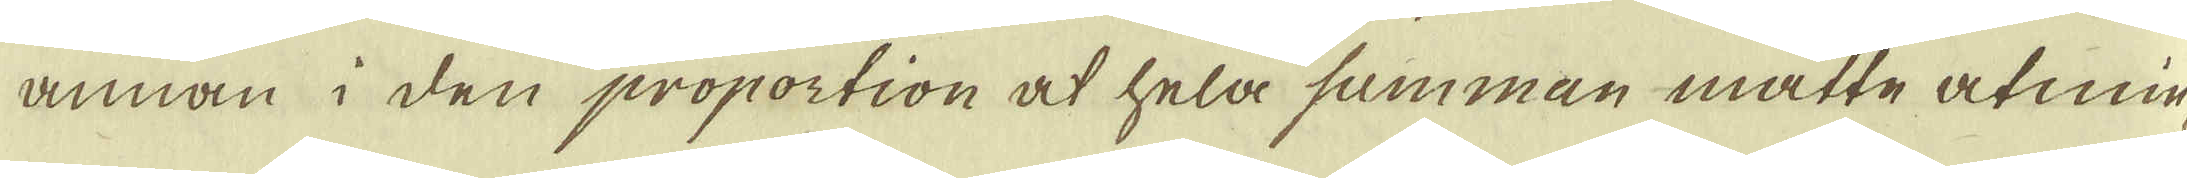annan i den proportion at hela summan måtte åtmin-
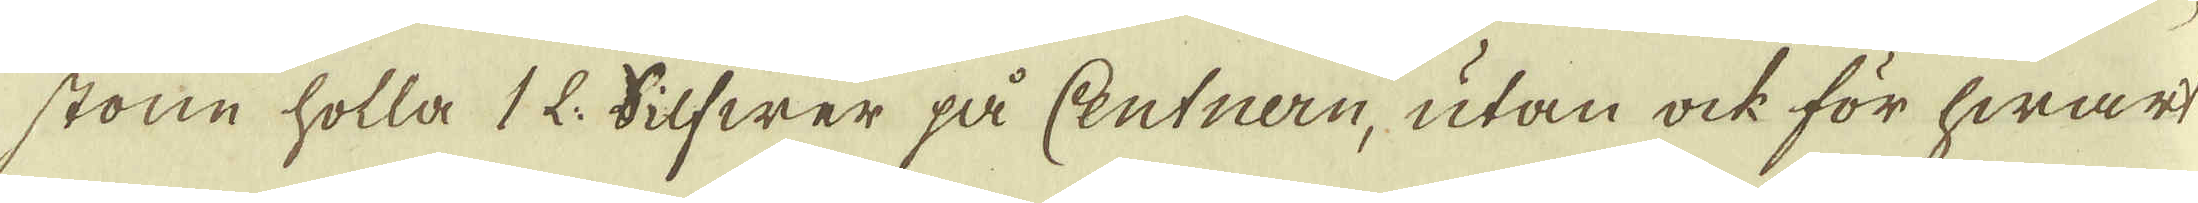stone holla 1 L. Silfwer på Centnern, utan ock för hwart
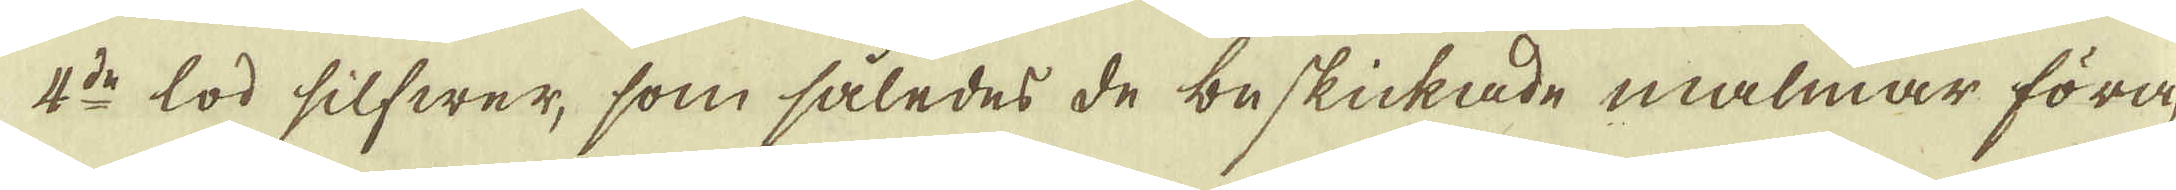4:de lod silfwer, som således de beskickade malmar föra,
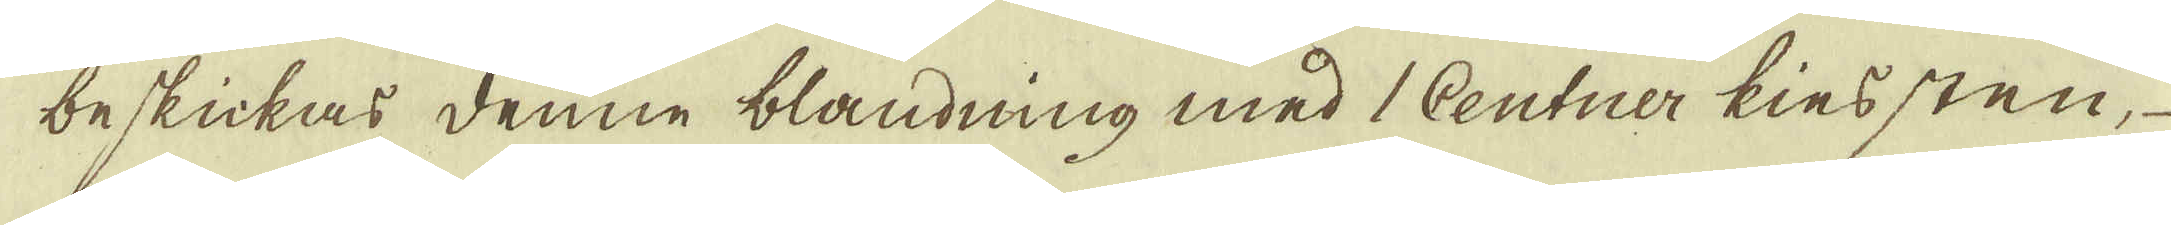beskickas denne blandning med 1 Centner kiessten, 
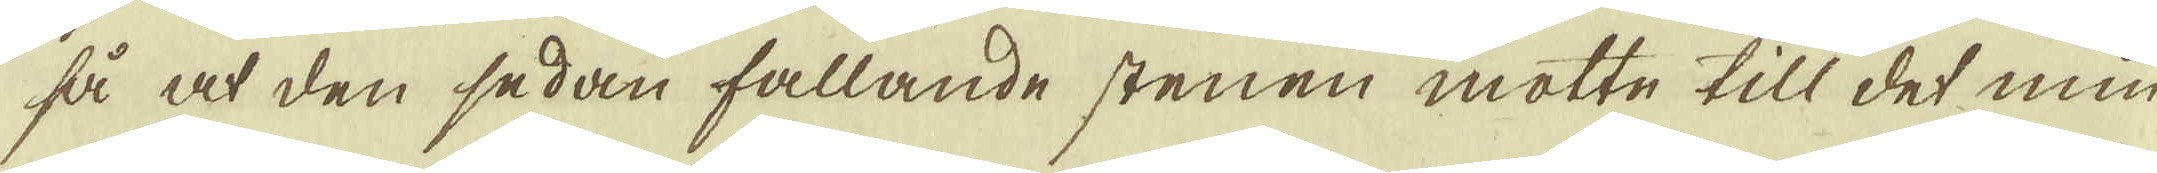så at den sedan fallande stenen motte till det min-
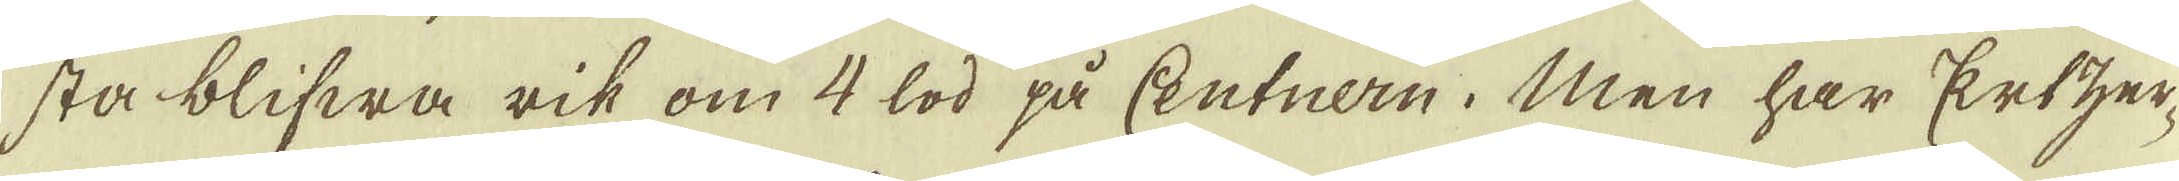sta blifwa rik om 4 lod på Centnern. Men har Ertzer-
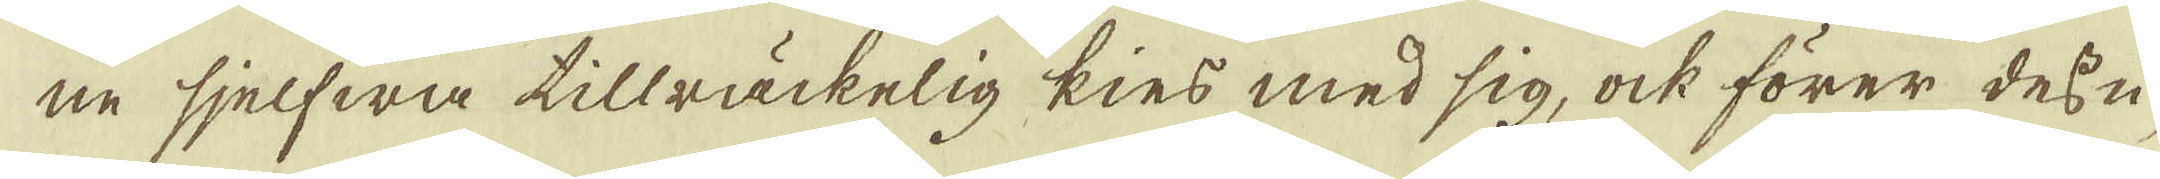ne sjelfwa tillräckelig kies med sig, ock förer dessu-
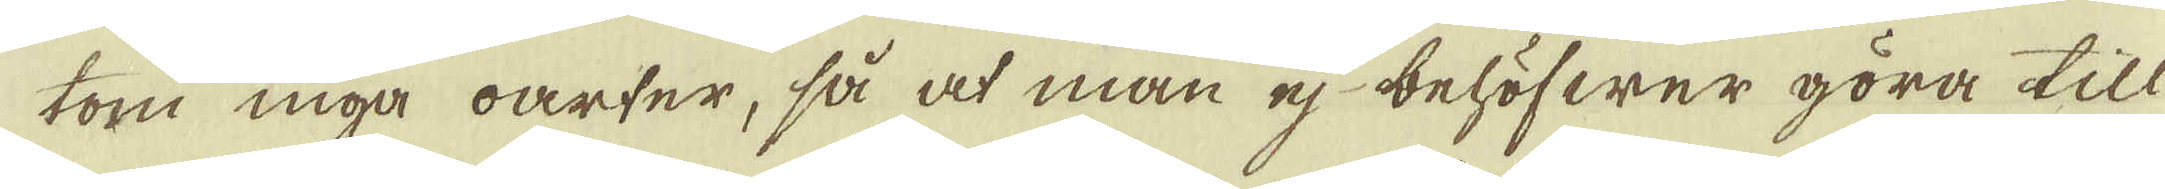tom inga oarter, så at man ej behöfwer göra till-
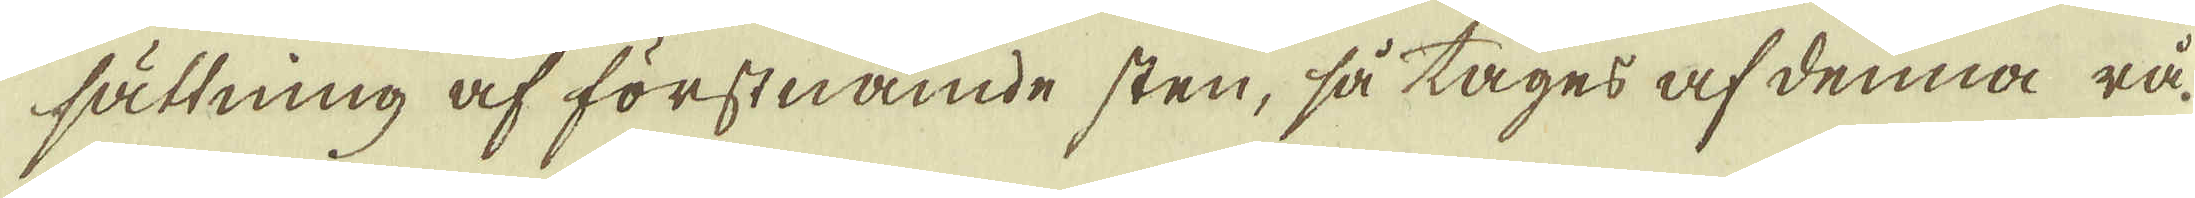sättning af förstnämde sten, så tages af denna rå-
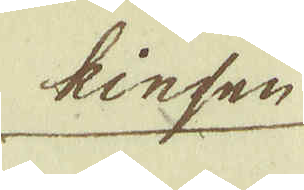kiesen
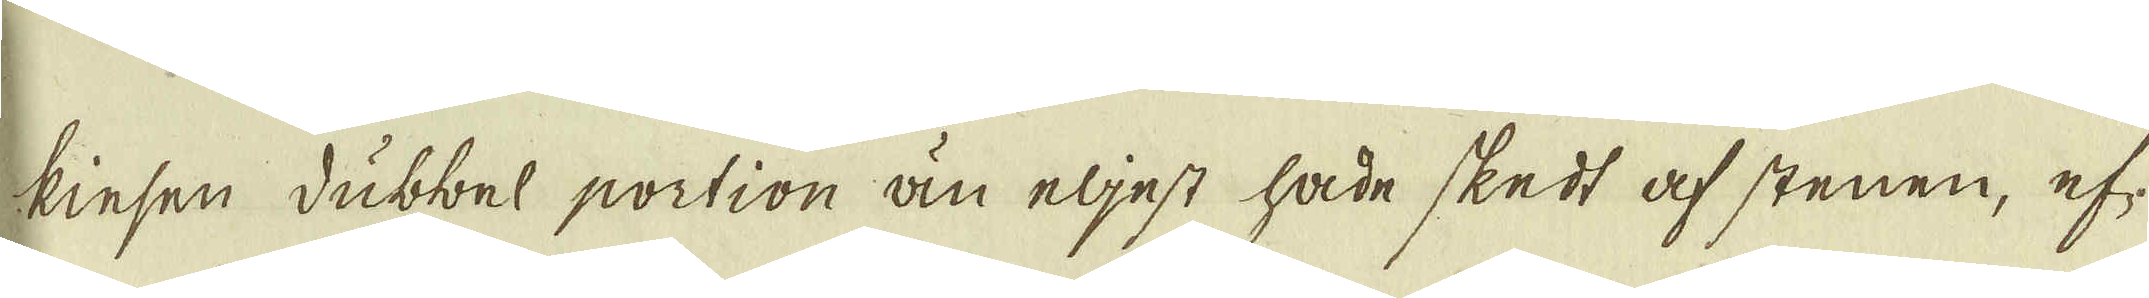kiesen dubbel portion än eljest hade skedt af stenen, ef-
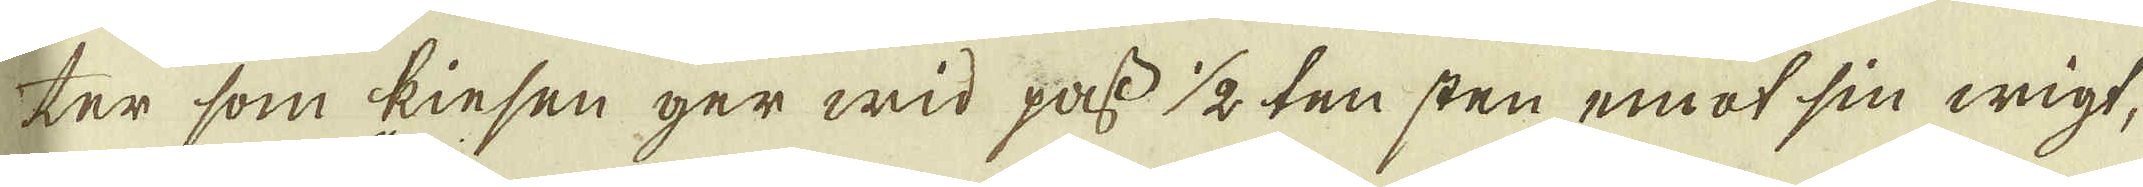ter som kiesen ger wid pass 1/2 ten sten emot sin wigt,
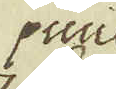pund
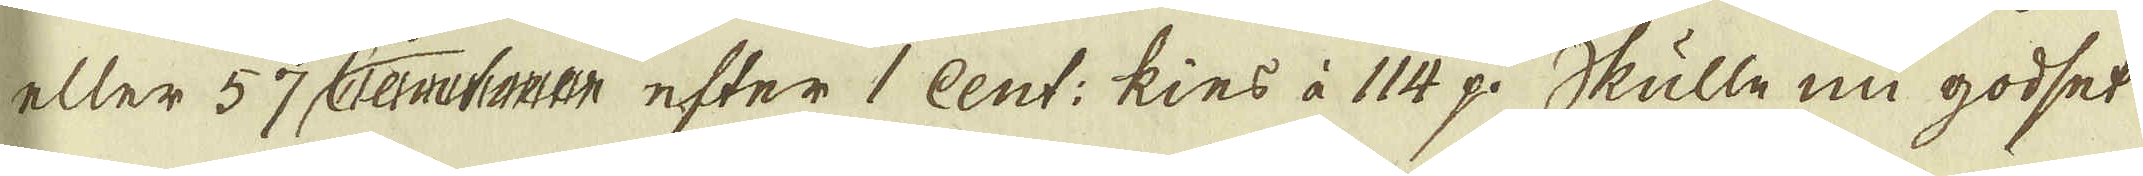eller 57 Centner efter 1 Cent: kies à 114 p. Skulle nu godset
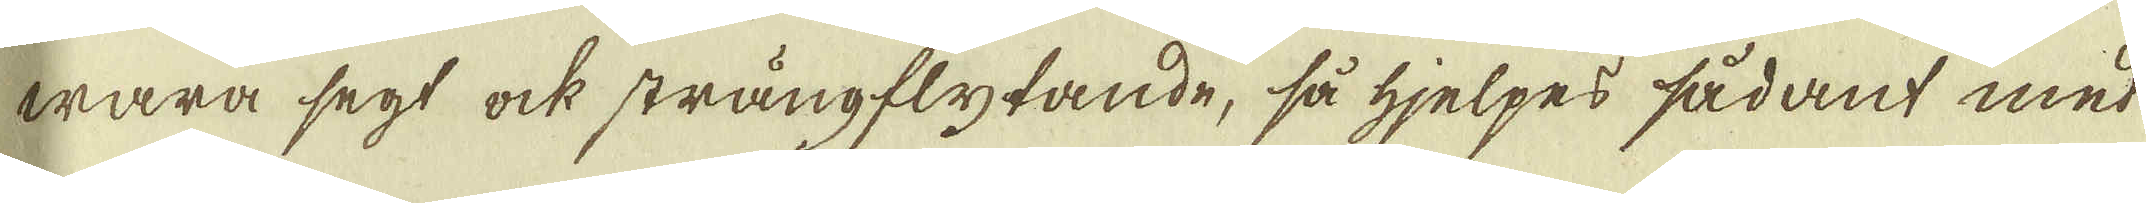wara segt ock strängflytande, så hjelpes sådant med
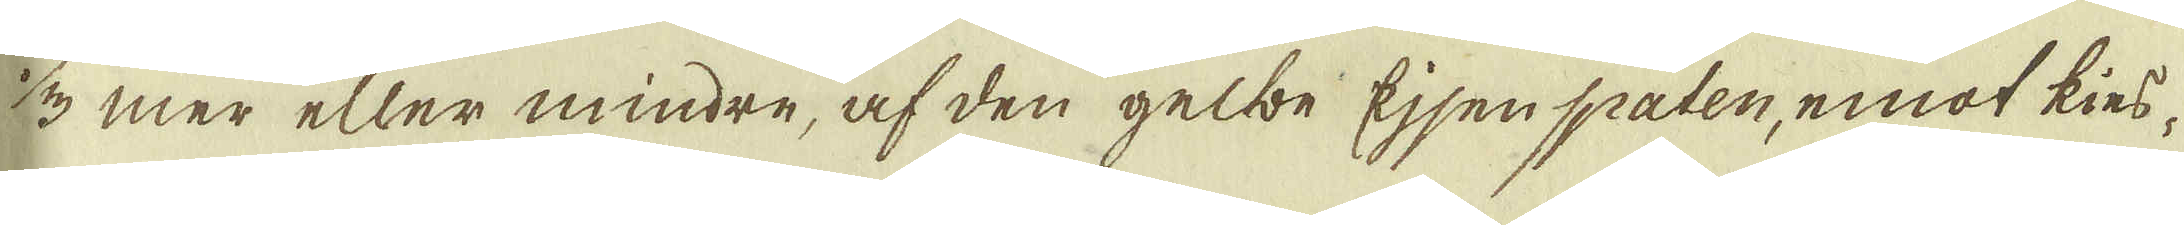1/3 mer eller mindre, af den gelbe Ejsen spaten, emot kies-
